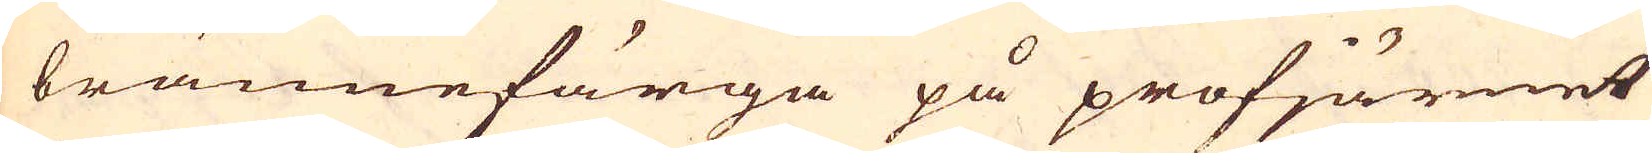brännefärga på profjärnet
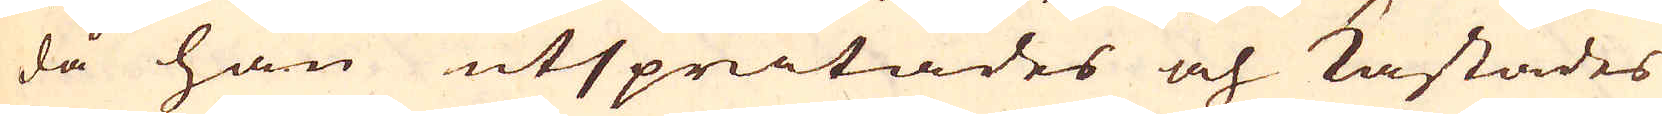då han utspritades och kastades
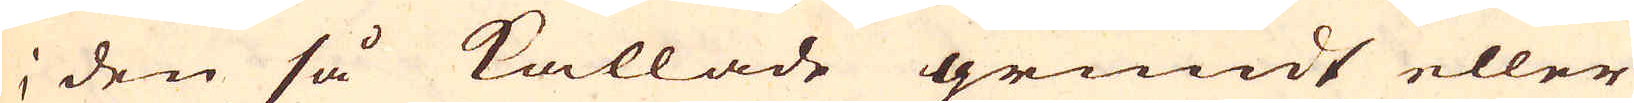i den så kallade grundt eller
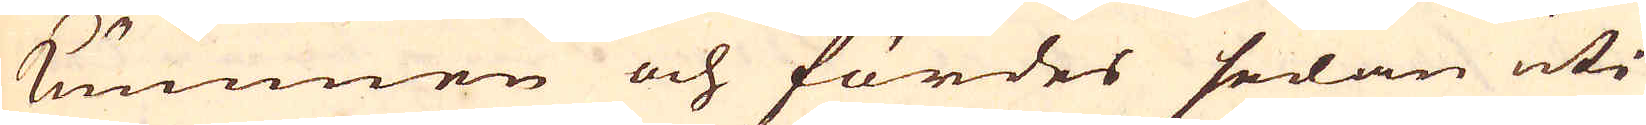Kummen och fördes sedan uti
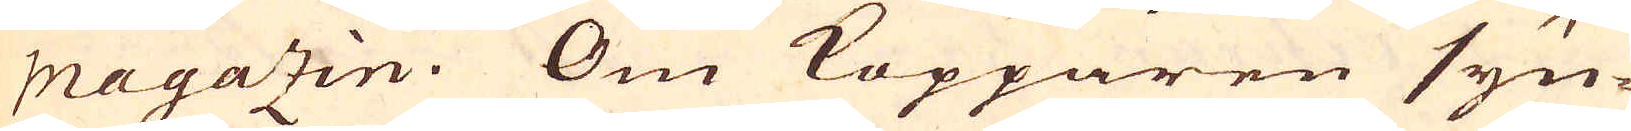Magazin. Om Kopparen syn-
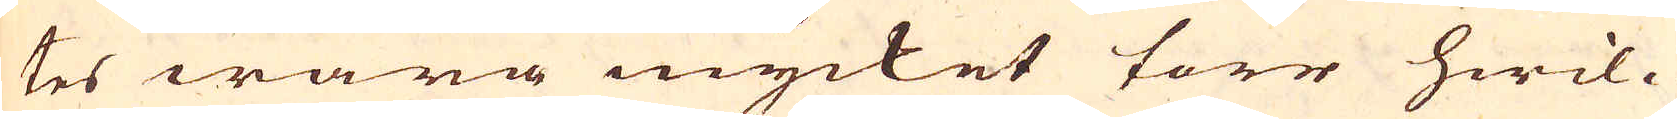tes wara mycket torr hwil-
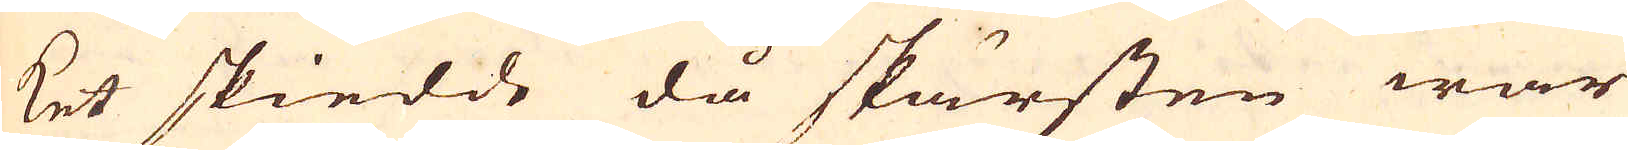ket skiedde då skärsten war
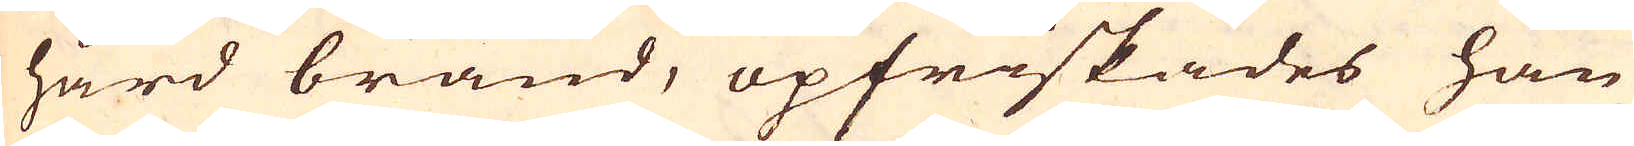hård bränd, opfriskades han
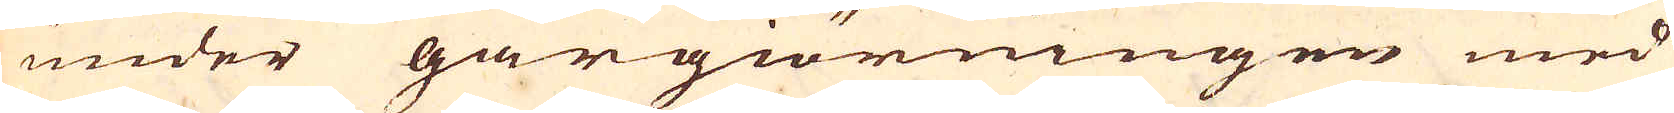under gårgiörningen med
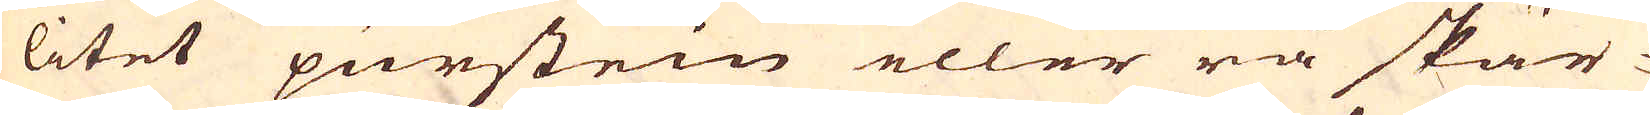litet purstein eller rå skär-
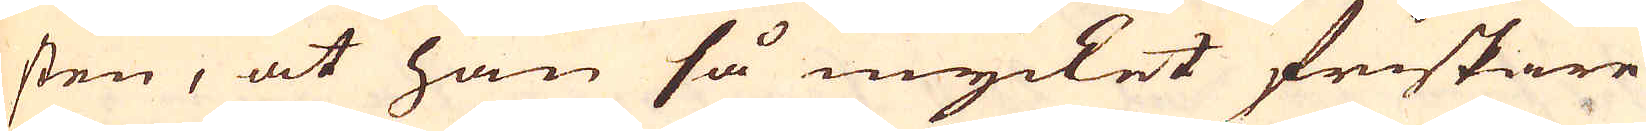sten, at han så mycket friskare
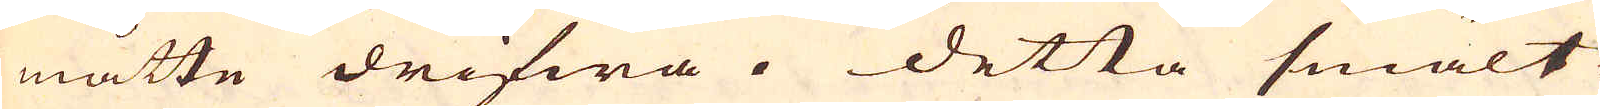måtte drifwa. Detta smält-
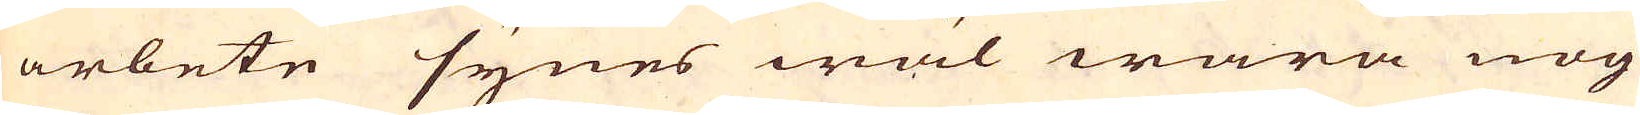arbete synes wäl wara nog
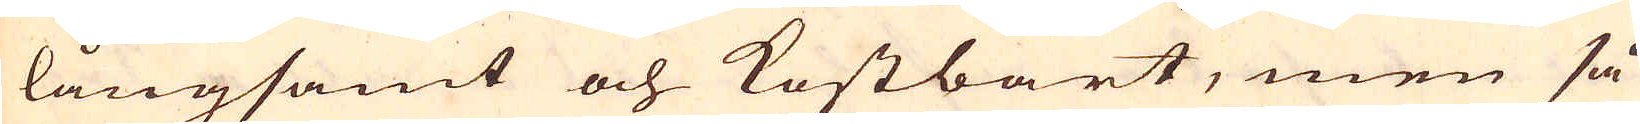långsamt och Kostbart, men så
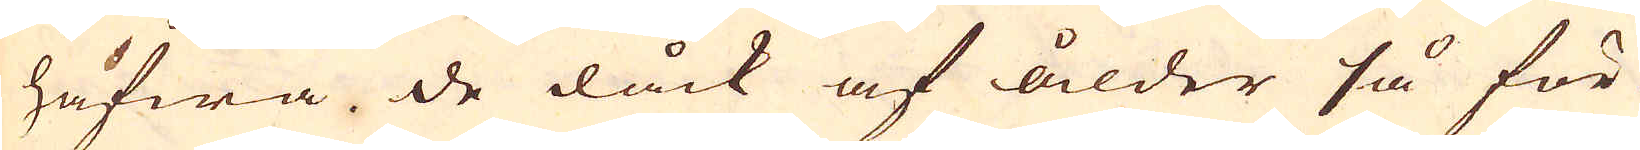hafwa de dåck af ålder så för-
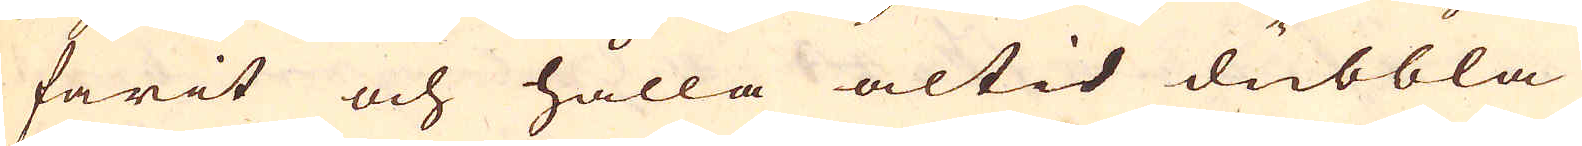farit och hålla altid dubbla
